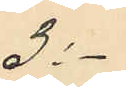3:-
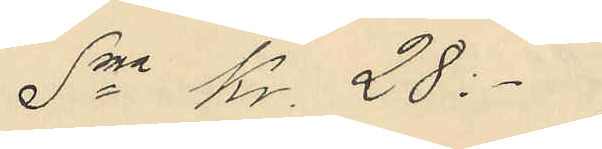Sma Kr. 28:- ;
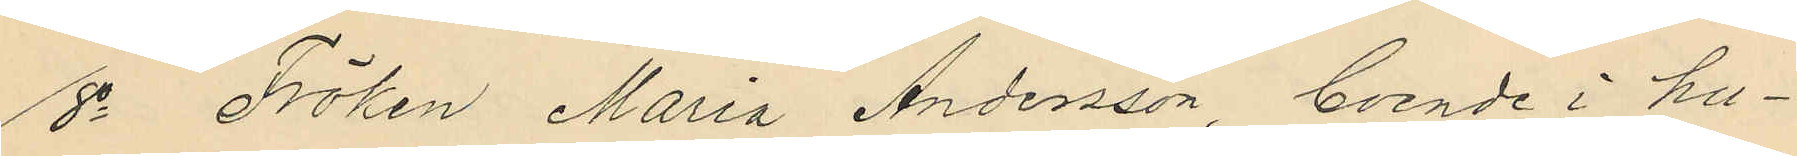8o Fröken Maria Andersson, boende i hu¬
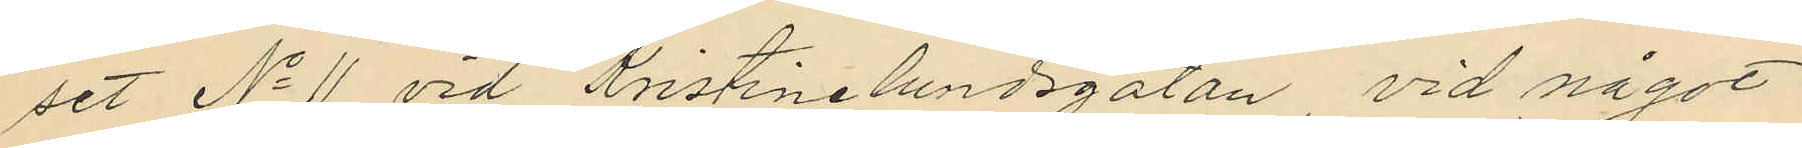set No 11 vid Kristinelundsgatan vid något
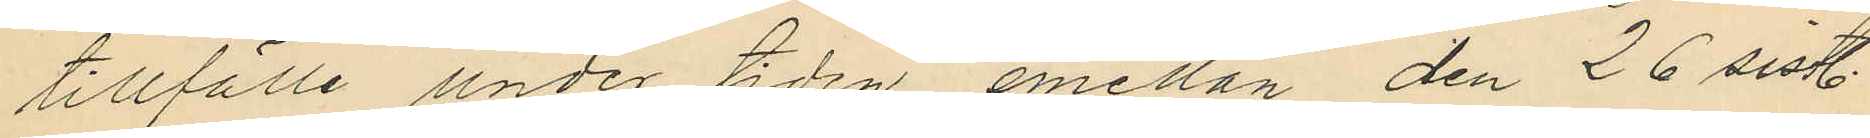tillfälle under tiden emellan den 26 sistl.
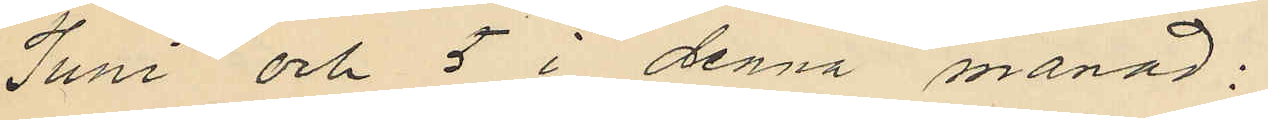Juni och 5 i denna månad;
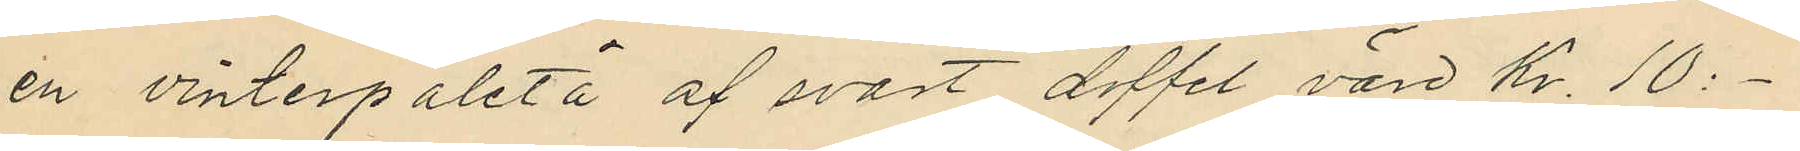en vinterpaletå af svart doffel värd Kr. 10:-
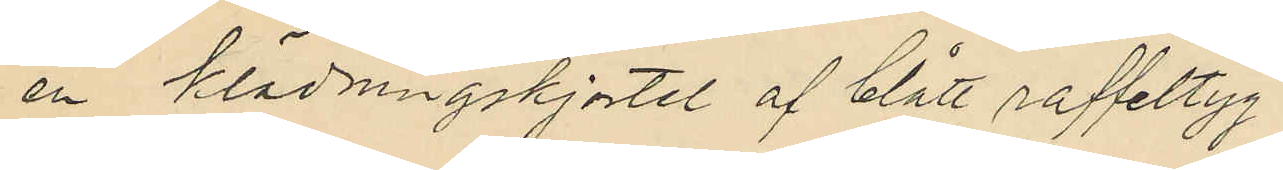en klädningskjortel af blått raffeltyg
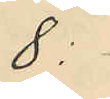8:
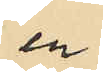en
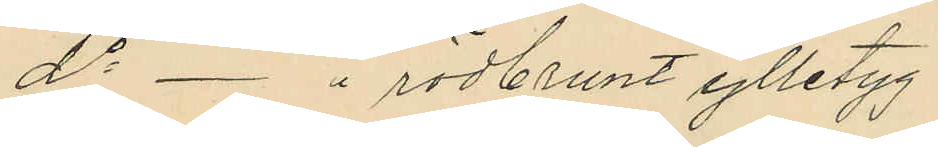do - " rödbrunt ylletyg
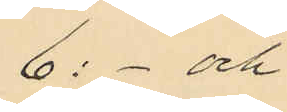6:- och
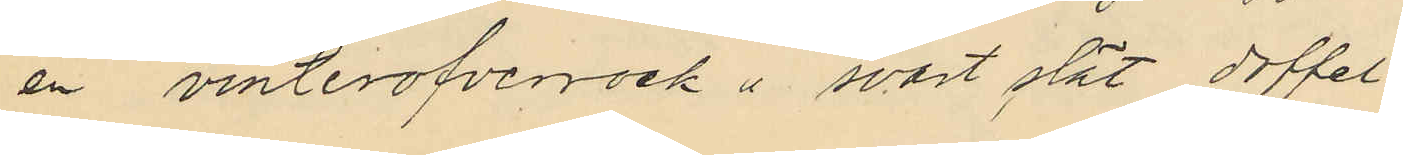en vinterofverrock å svart slät doffel
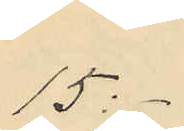15:-
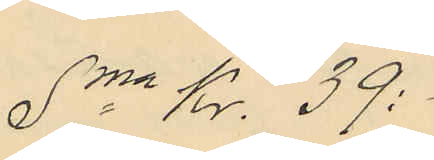Sma Kr. 39:-
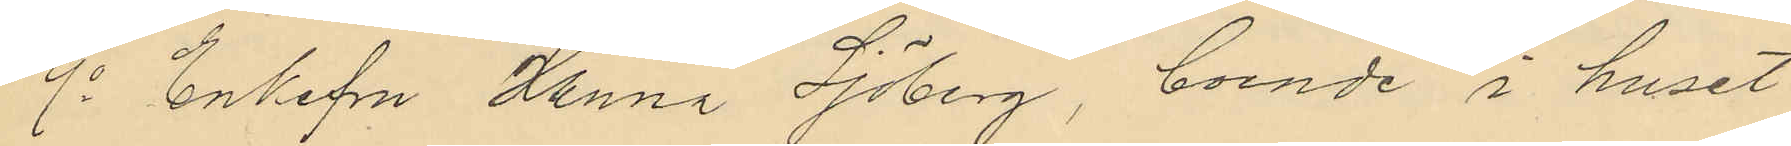9o Enkefru Hanna Sjöberg, boende i huset
